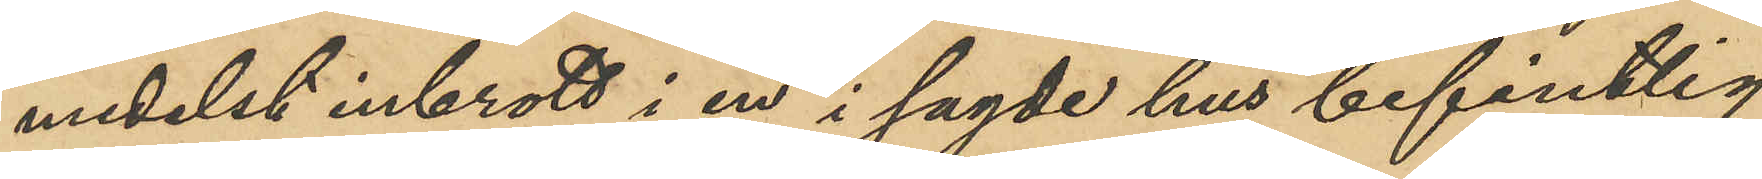medelst inbrott i en i sagde hus befintlig
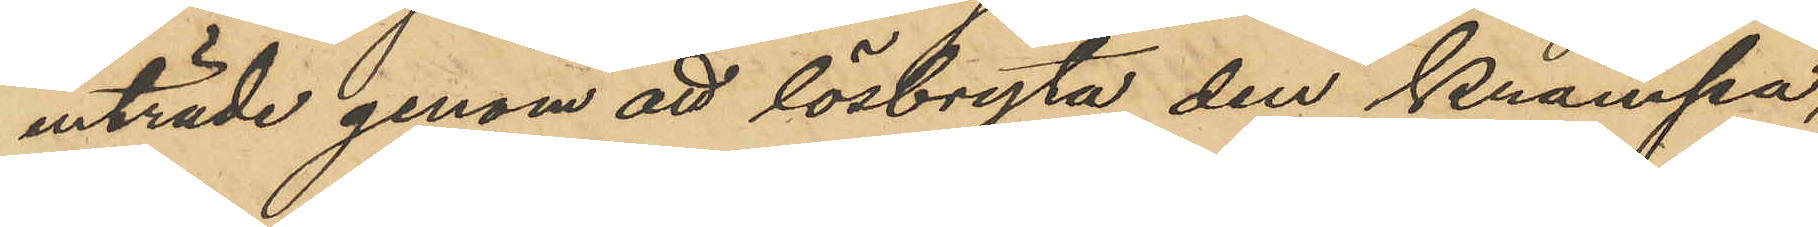inträde genom att lösbryta den krampa,
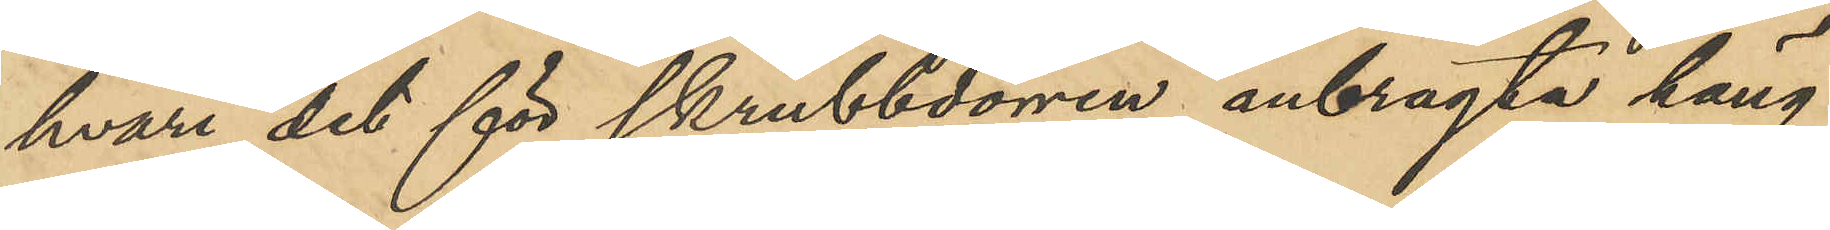hvari det för skrubbdörren anbragta häng¬
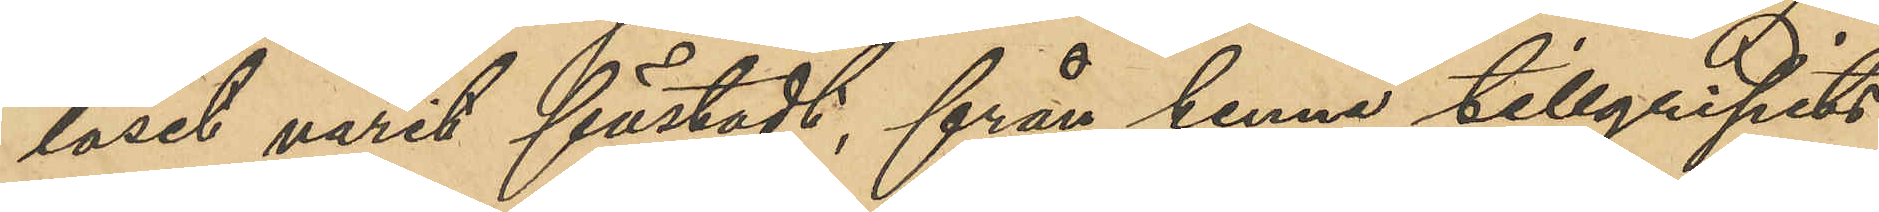låset varit fästadt, från henne tillgripits
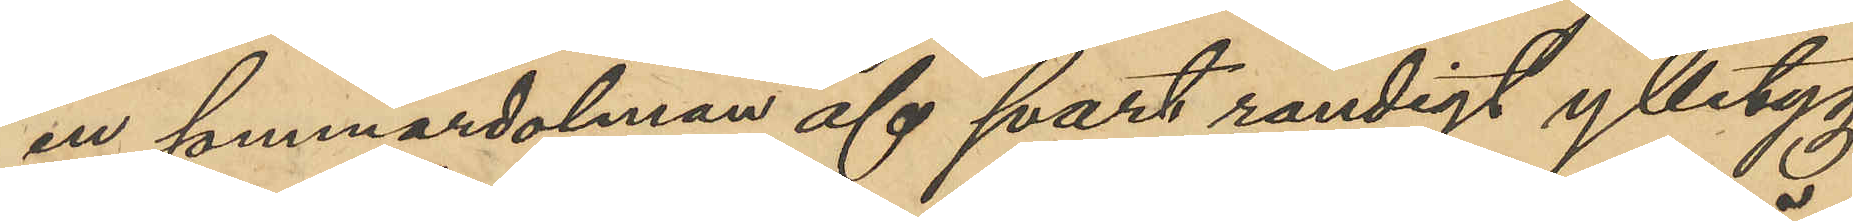en sommardolman af svart randigt ylletyg,
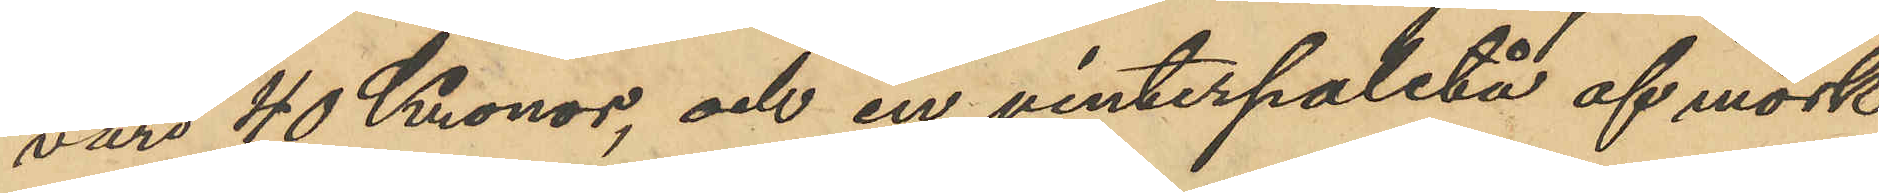värd 40 Kronor, och en vinterpaletå af mörk¬
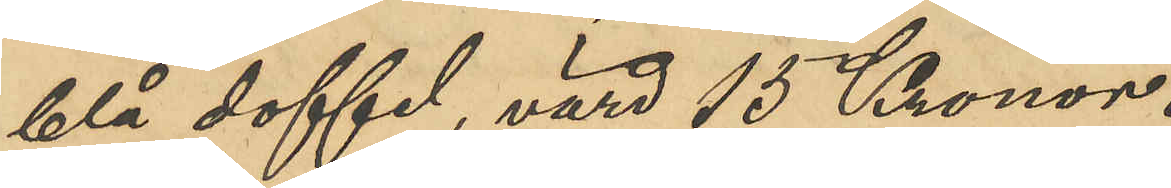blå doffel, värd 15 Kronor.
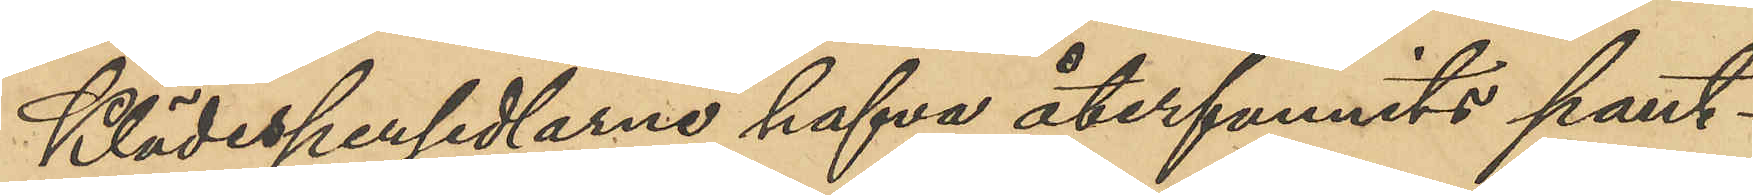Klädespersedlarne hafva återfunnits pant¬
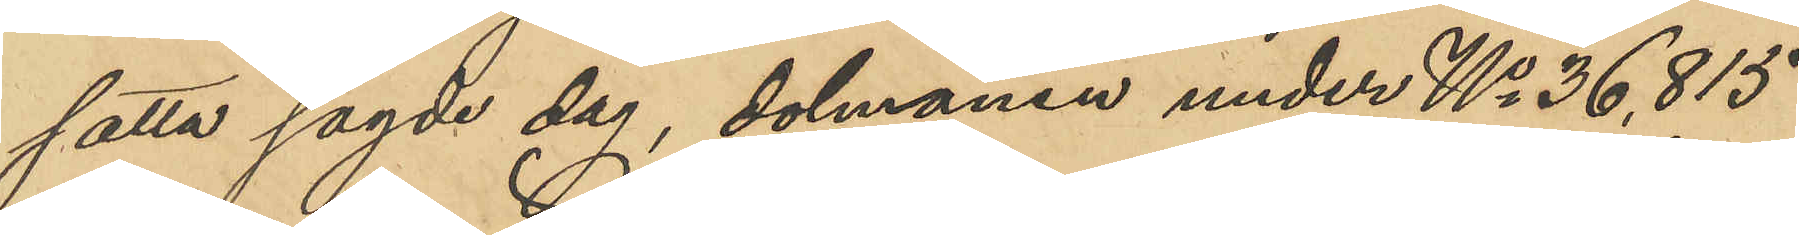satta sagde dag, dolmanen under No 36,815
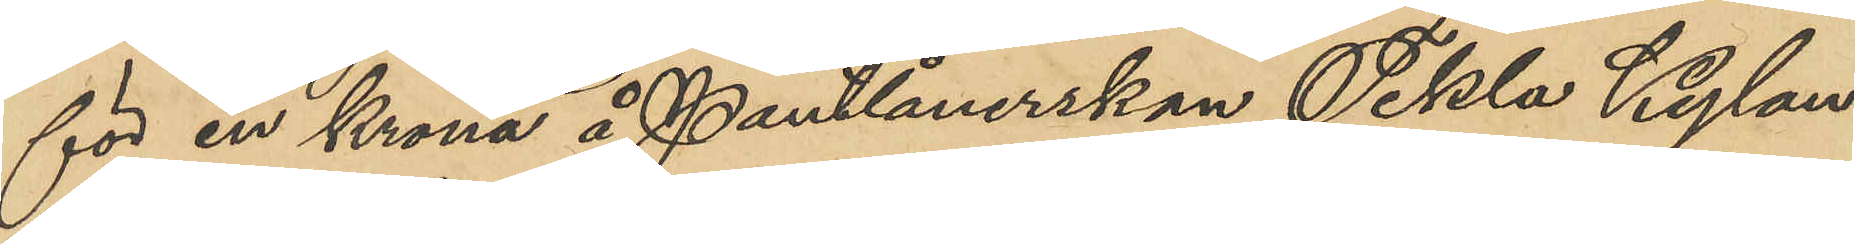för en krona å Pantlånerskan Tekla Kylan¬
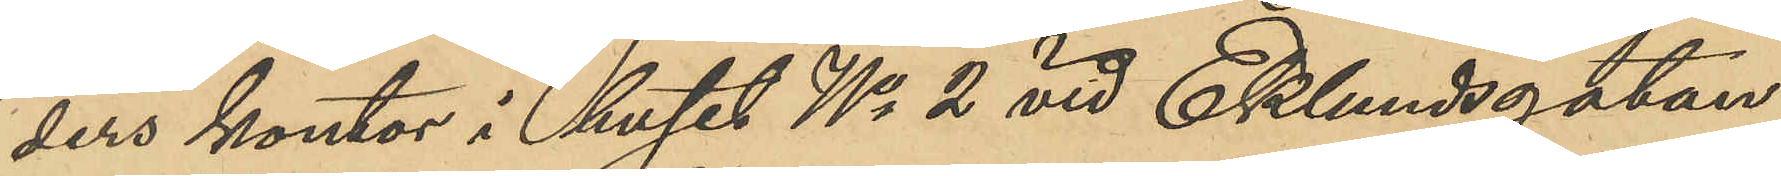ders kontor i huset No 2 vid Eklundsgatan
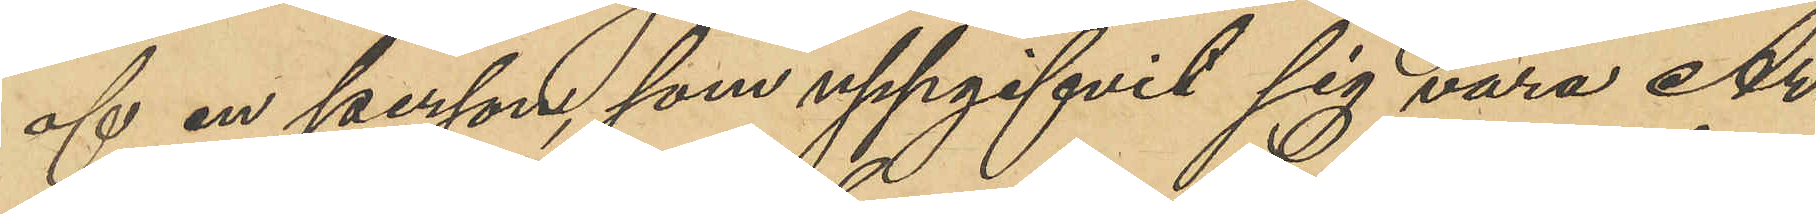af en person som uppgifvit sig vara Ar¬
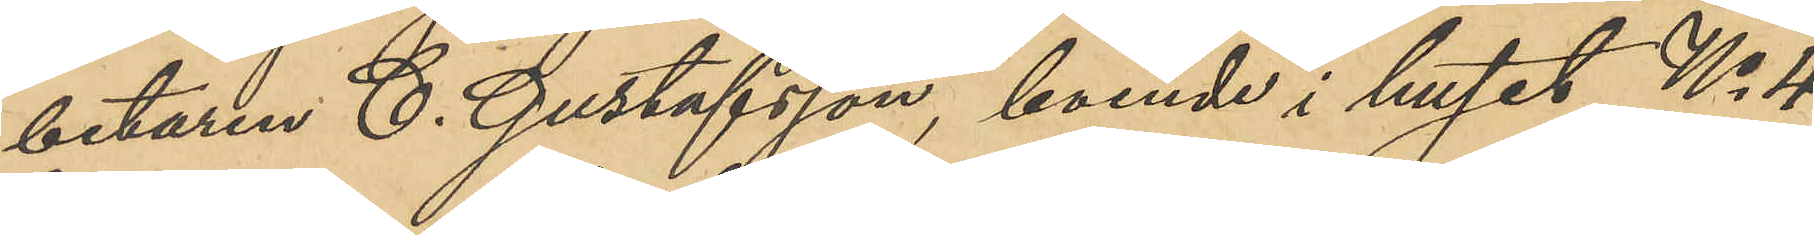betaren C. Gustafsson, boende i huset No 4
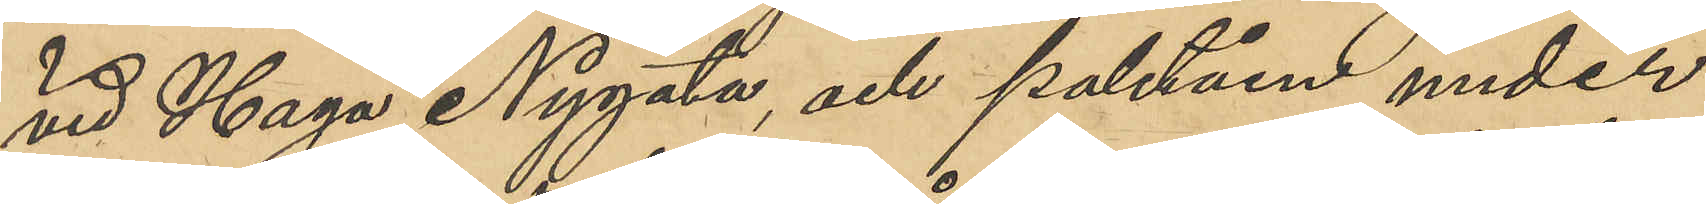vid Haga Nygata, och paletån under
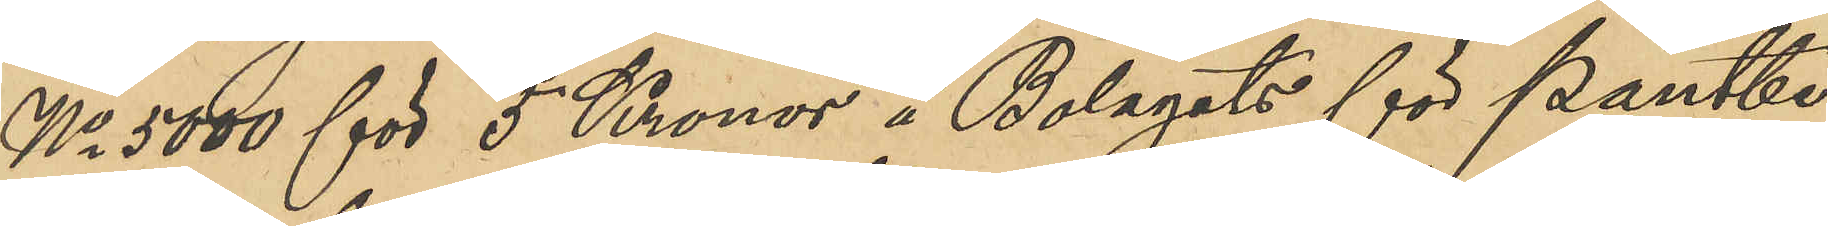No 5000 för 5 Kronor i Bolagets för Pantbe¬
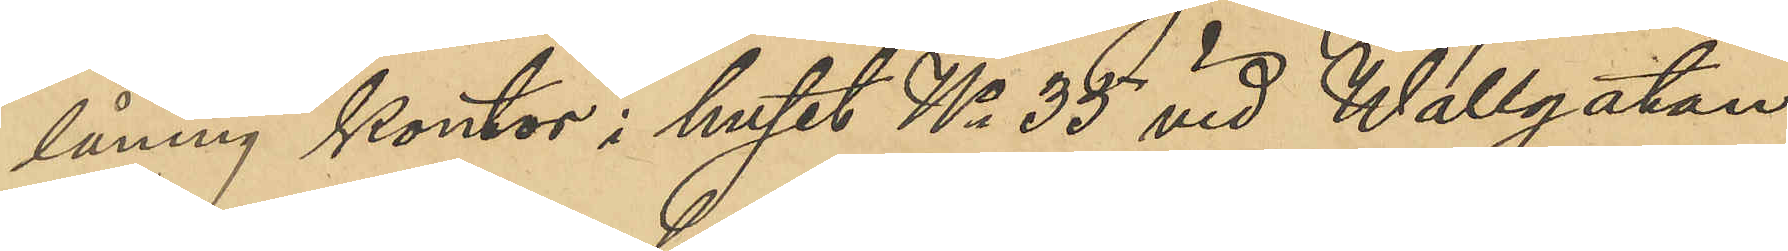låning kontor i huset No 35 vid Wallgatan
